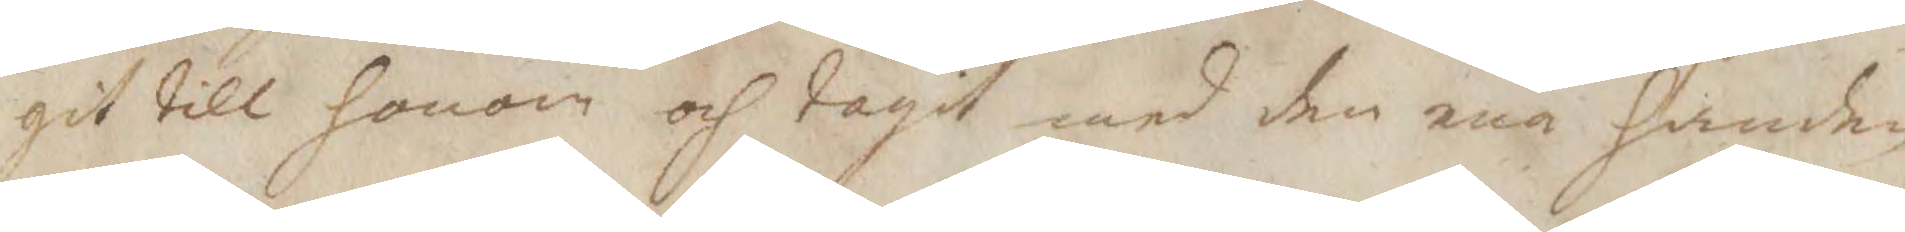git till honom och tagit med den ena handen
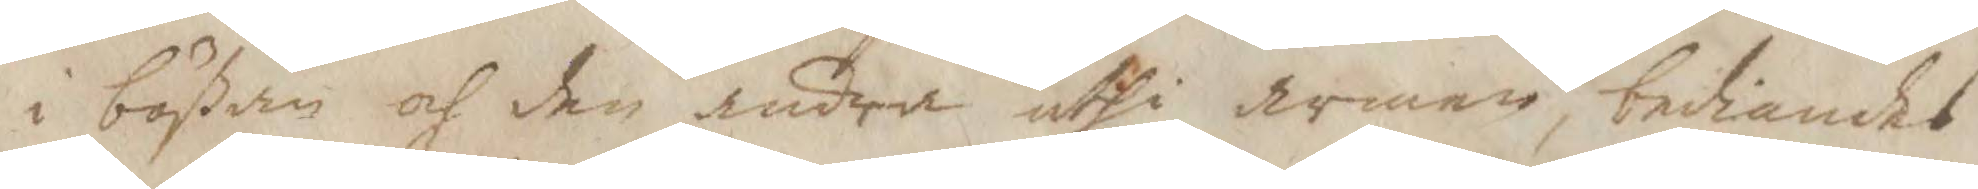i bößan och den andra uthi armen, bediandes
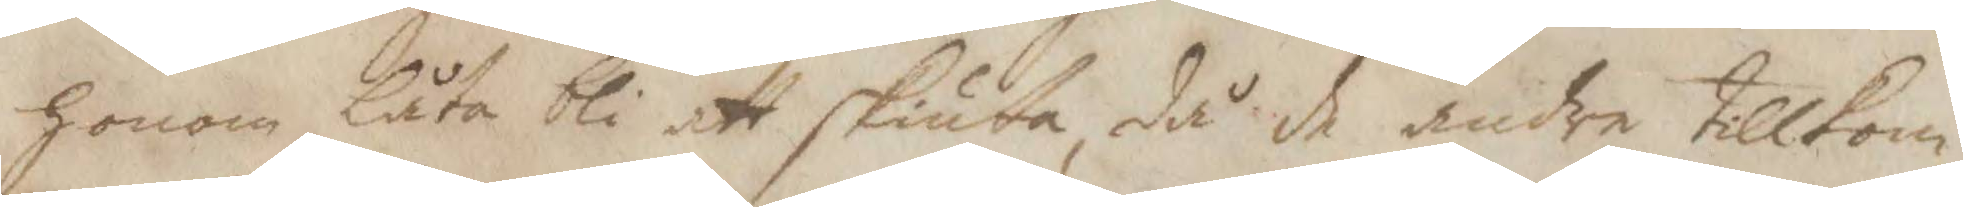honom låta bli att skiua, då de andra tillkom¬
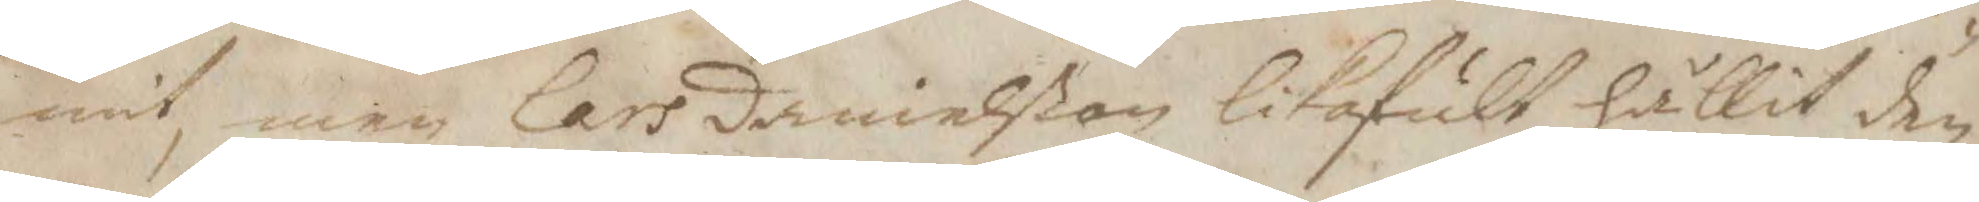mit, men lars danielßon likafult hållit den
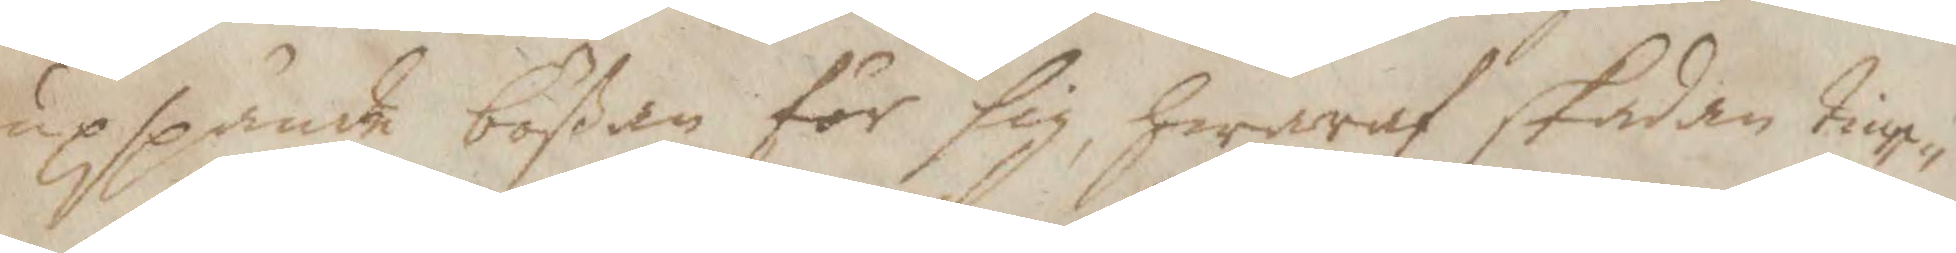upspände bößan för sig, hwaraf skadan tiup¬
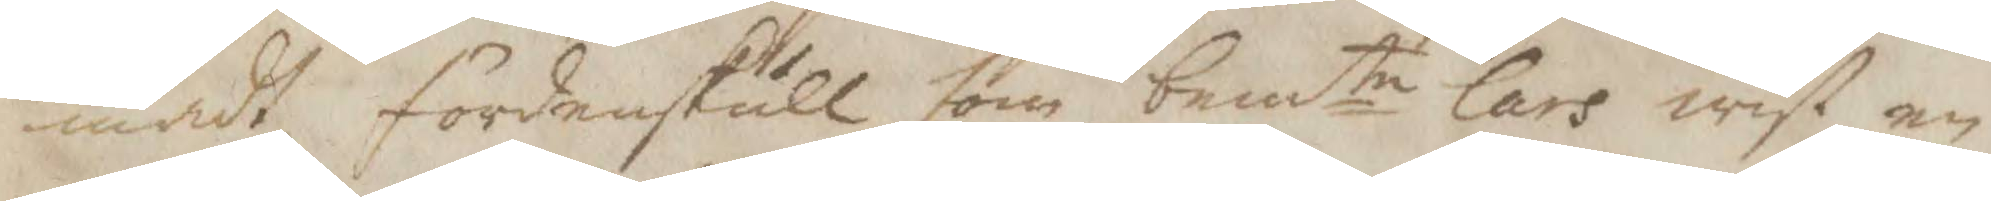madt fördenskull som bemte Lars wist en
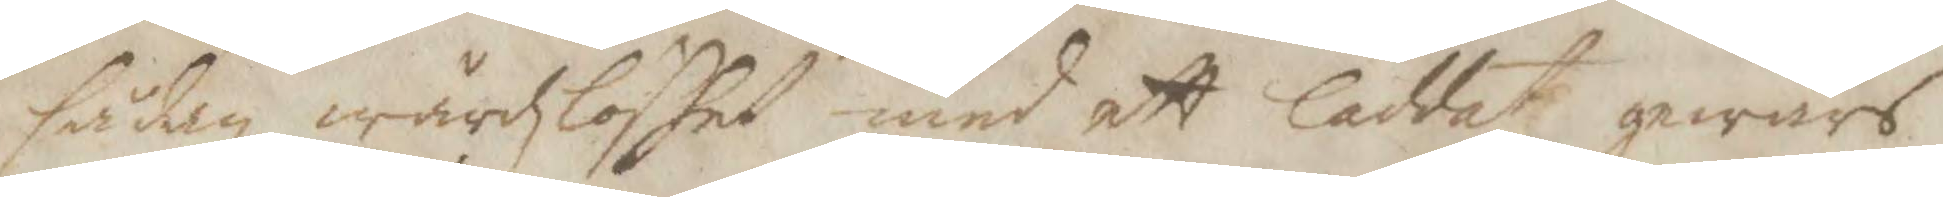sådan wårdzlöshet med ett laddat gewärs
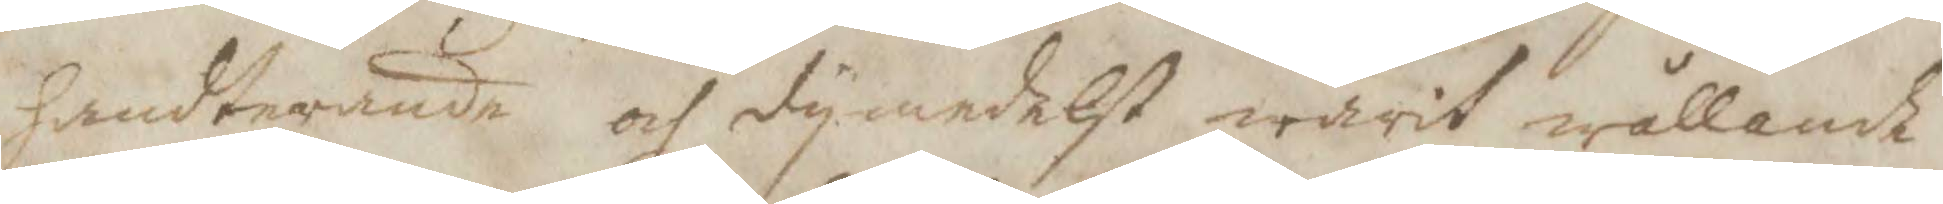handterande och dymedelst warit wållande
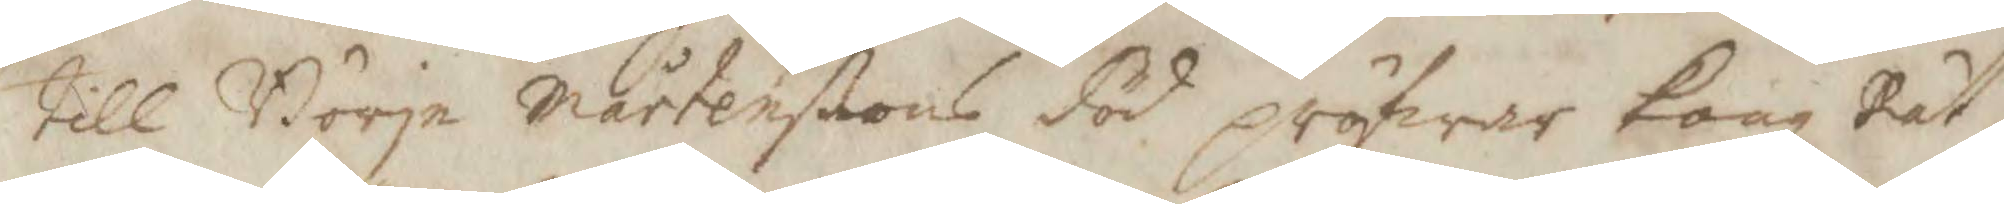till Börje Mårtenßons död pröfwar Kongl Rät¬
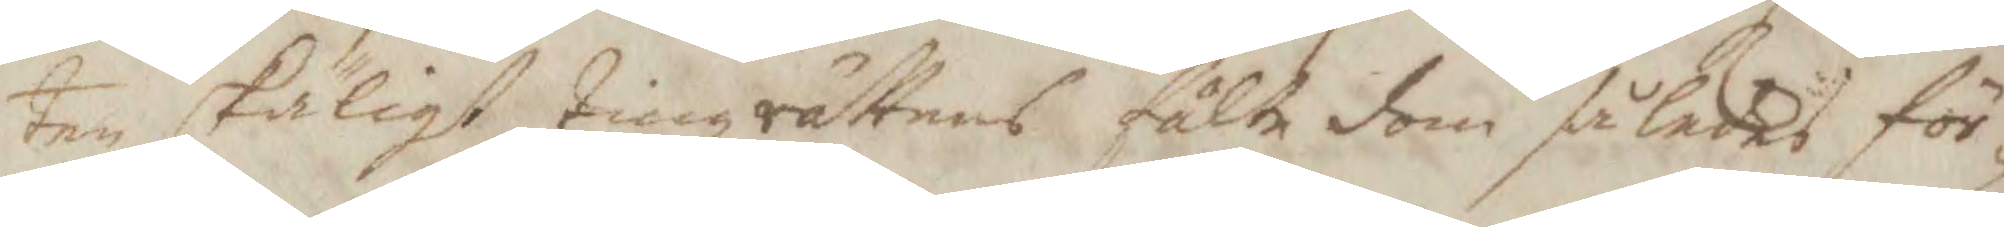ten skäligt Tingsrättens fälte dom således för¬
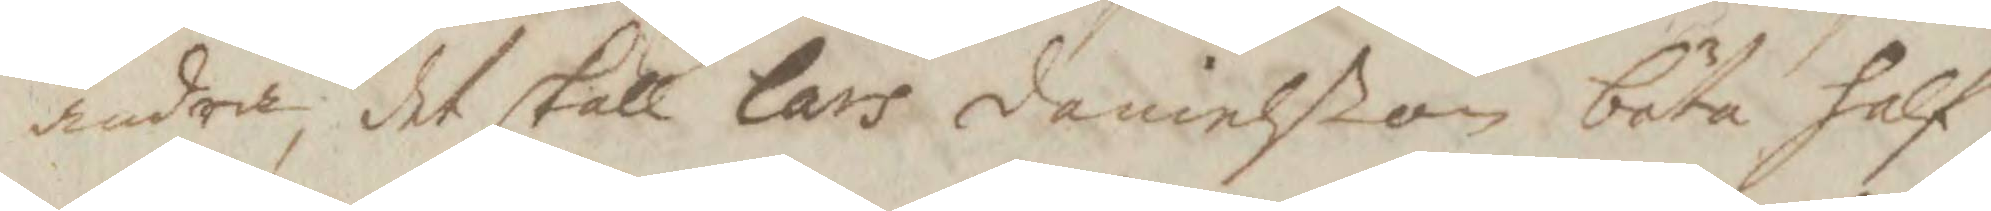ändra, det skall lars danielßon böta half
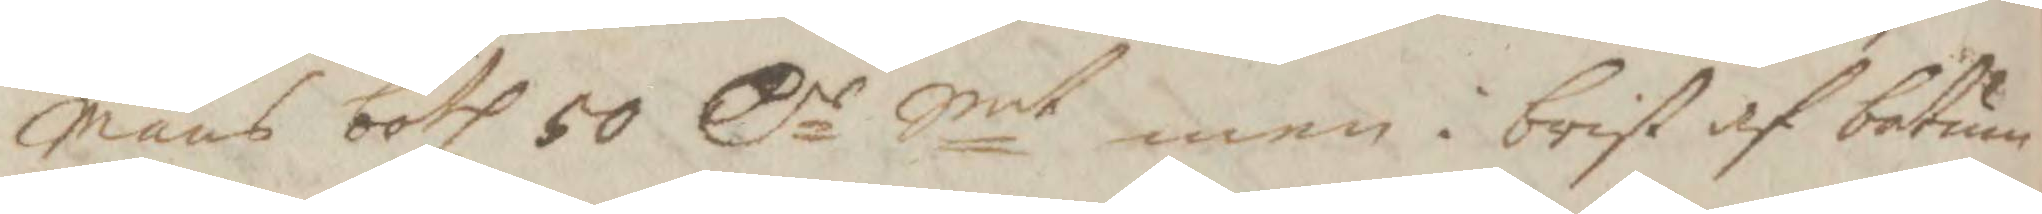mans both 50 Cr Smt men i brist af botum
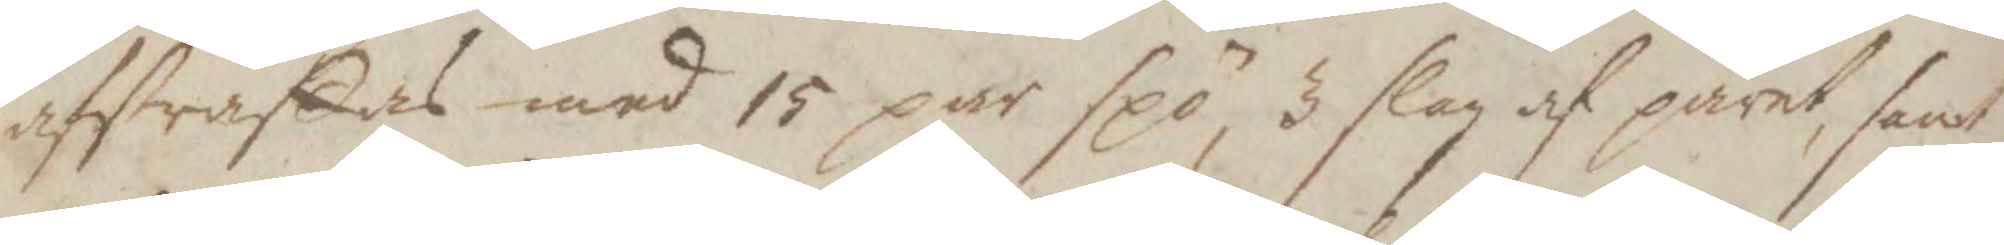afstraffas ed 15 par spö, 3 slag af paret, samt
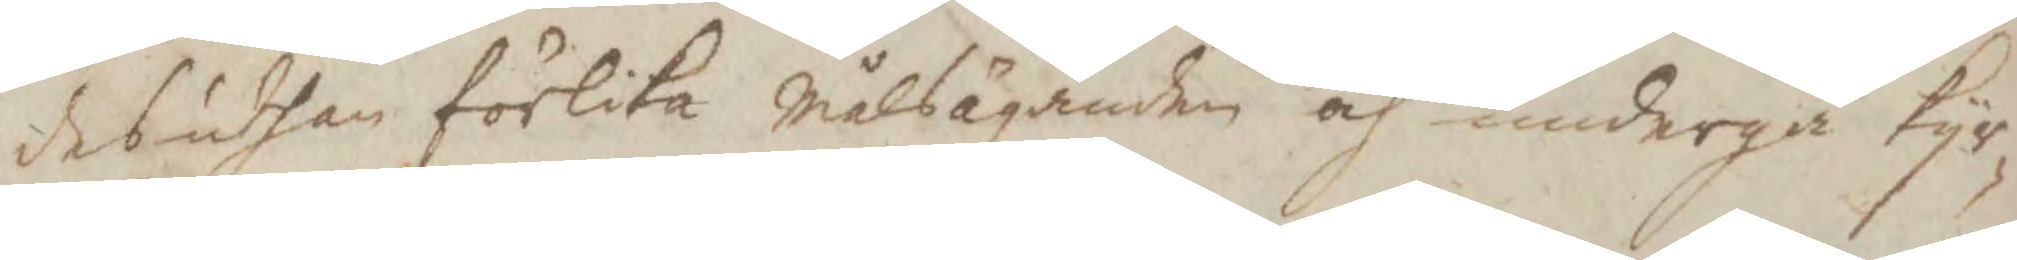desuthan förlika målsäganden och undergå kyr¬
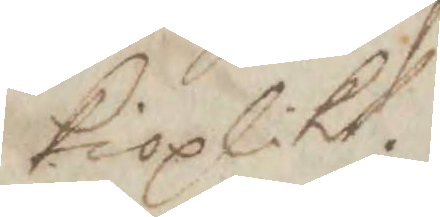kioplikt.
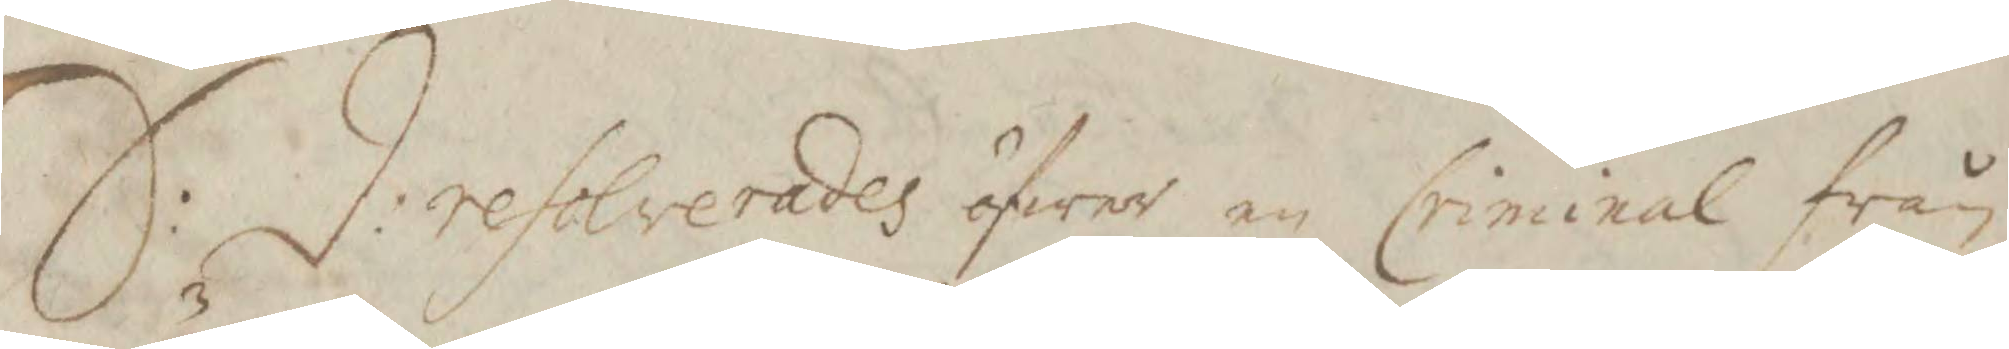S: d: resolverades öfwer en Criminal från
